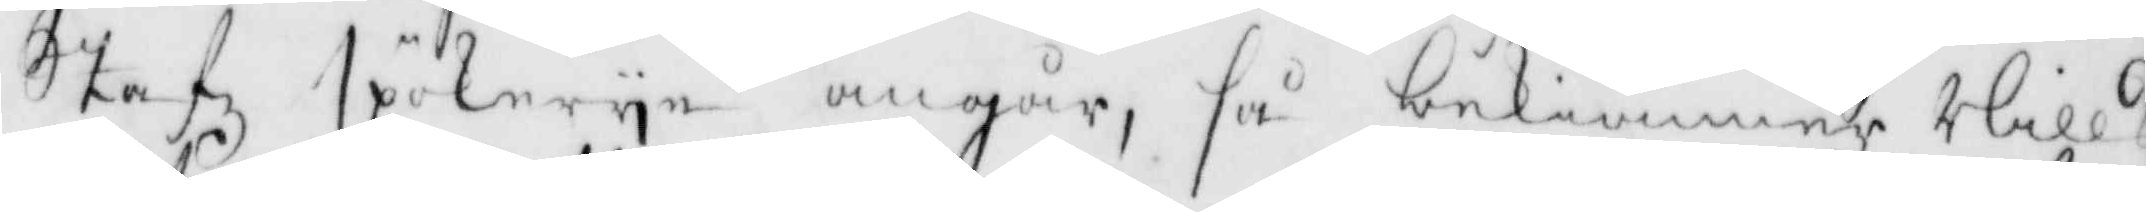stafz spökerye angår, så bekiänner Nills
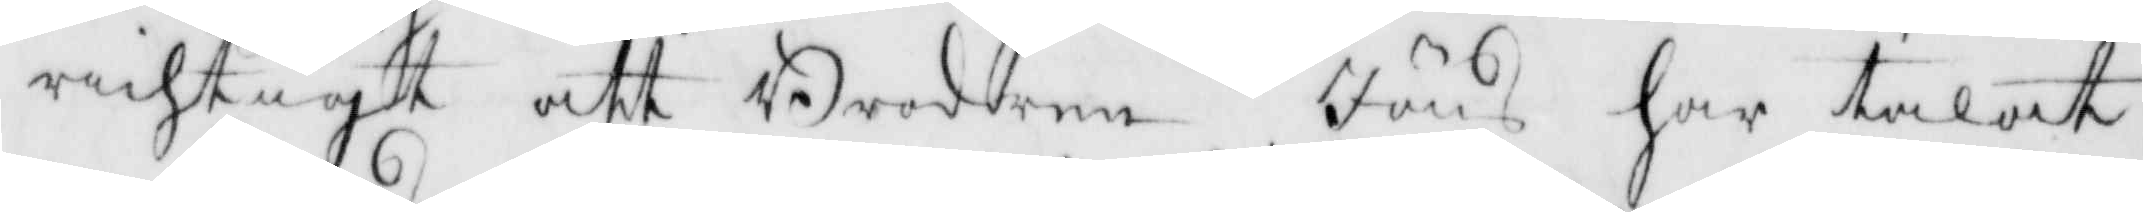richtigt att Brodern Jöns har talat
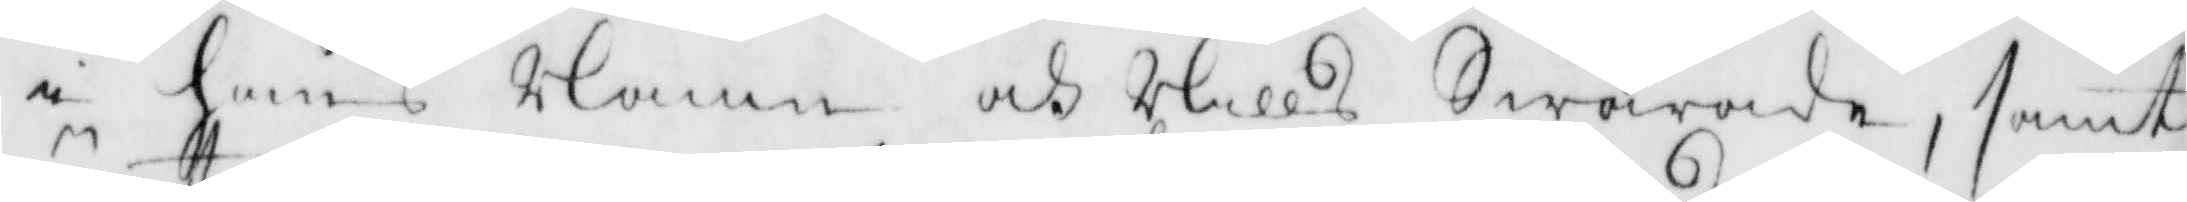i hans Namn och Nills Swarade, samt
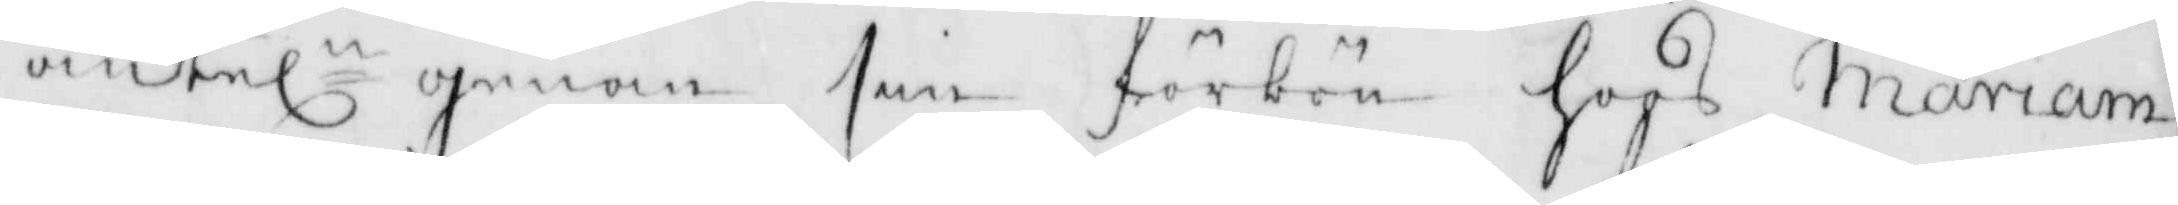änteln genom sin förbön hoos mariam
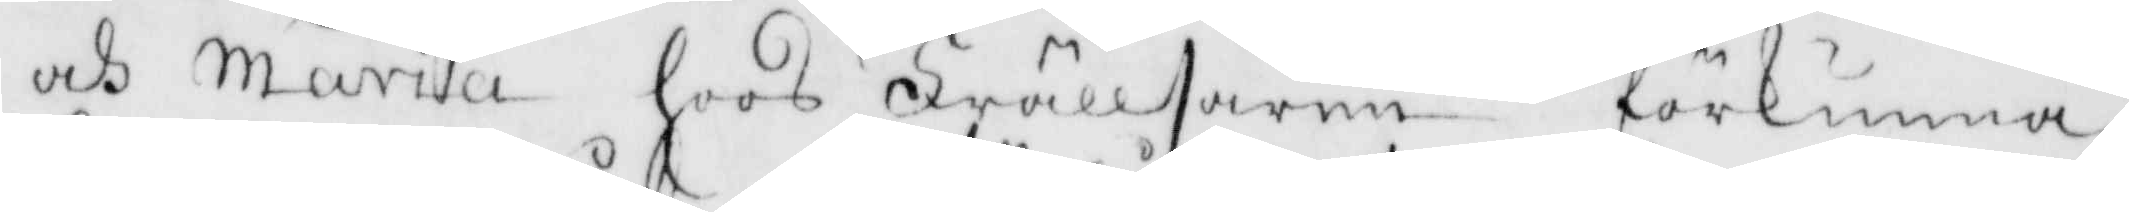och maria hoos Frällsaren förkunna
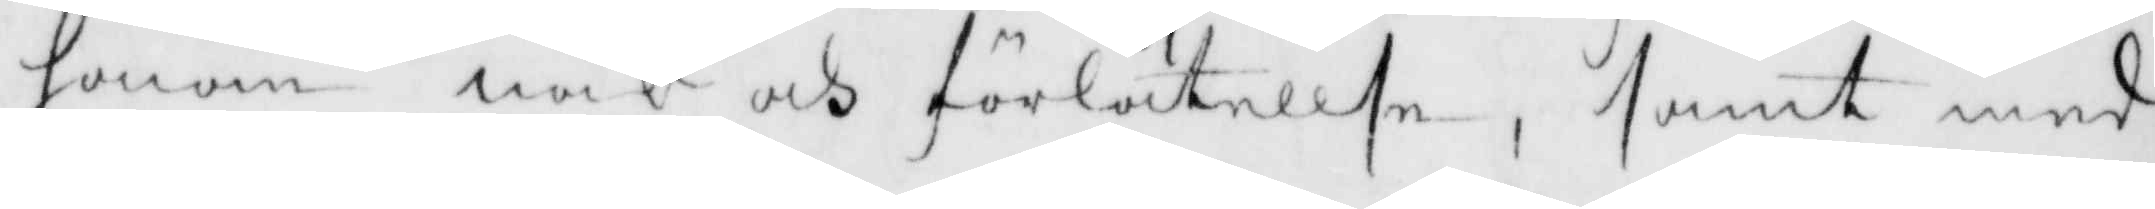honom nåd och förlåtelse, samt med
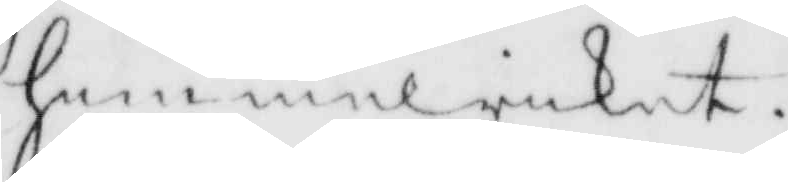himmelriket.
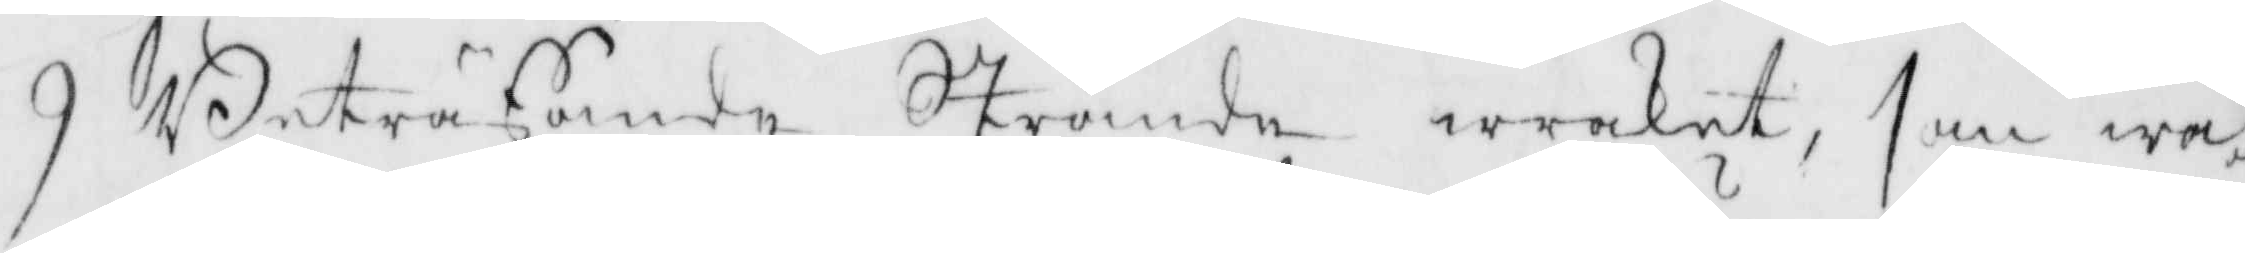9 Betraffande Strande wraket, som wa¬
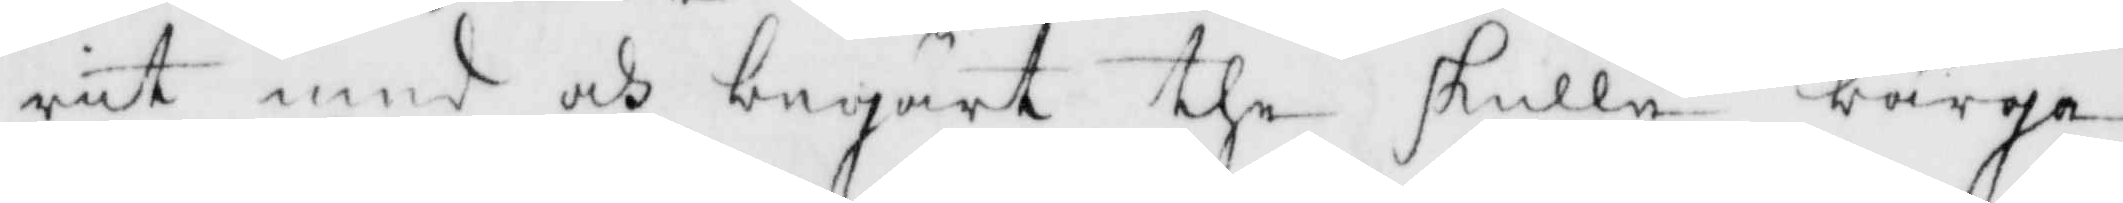rit med och begärt the skulle bärga
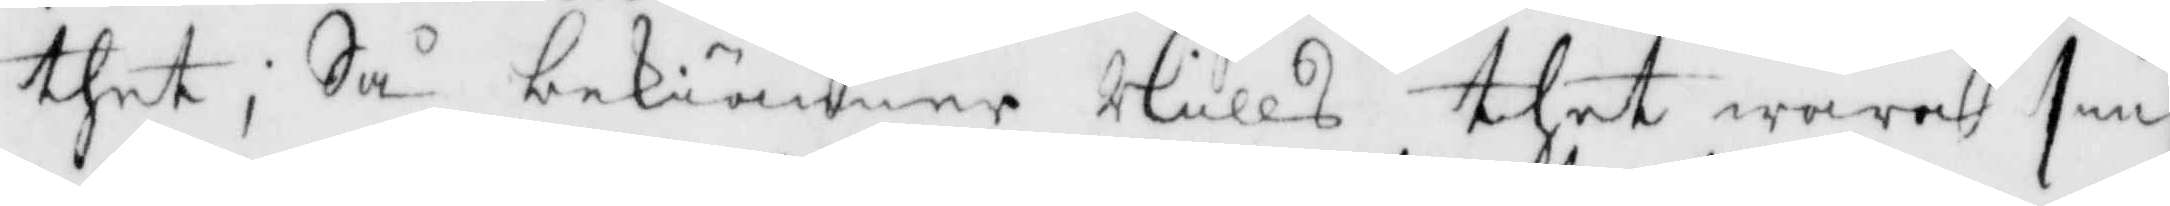thet, Så bekiänner Nills thet wara sin
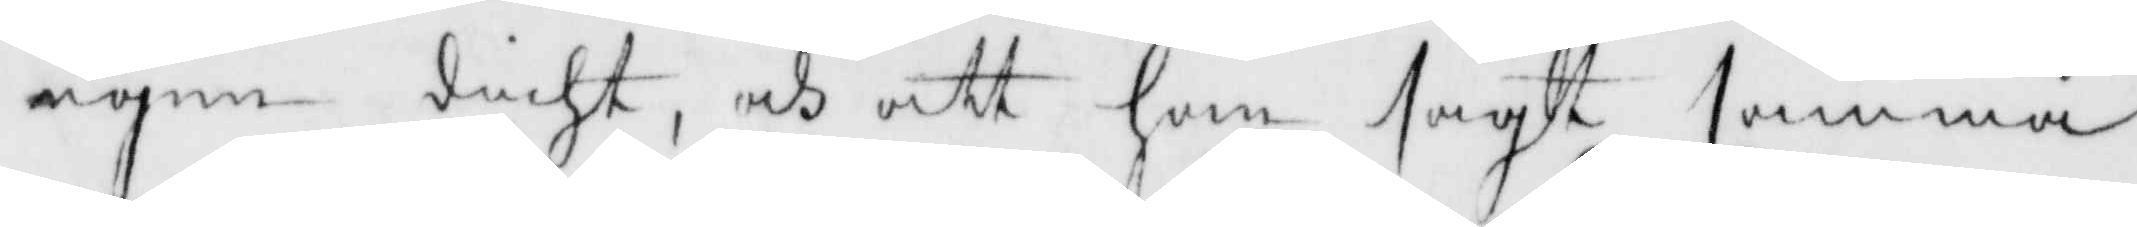egen dicht, och att han sagt samma
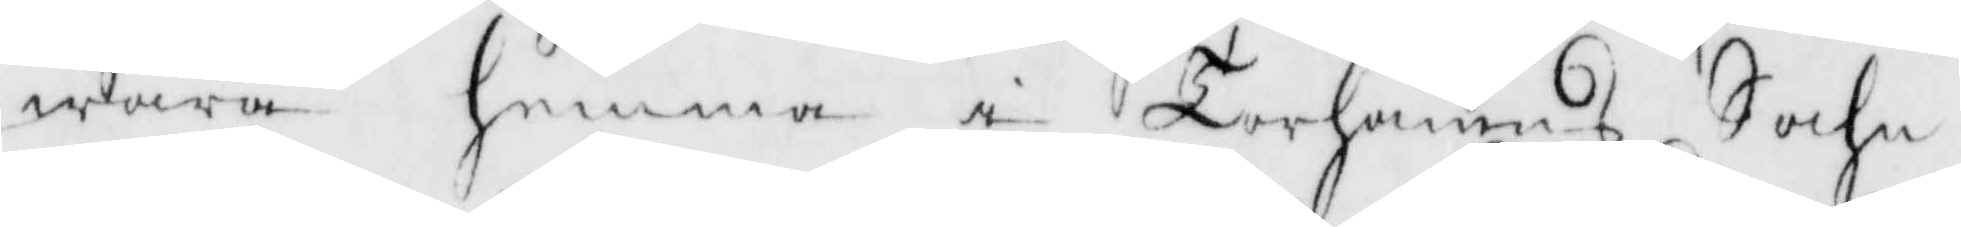wara hemma i Torhamns Sochn.
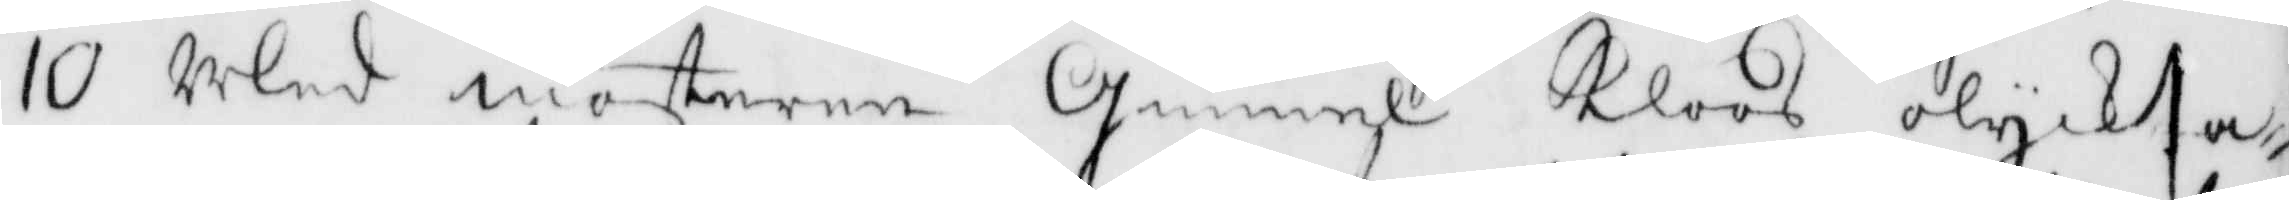10 Med mosteren Gunnel Kloos olycka¬
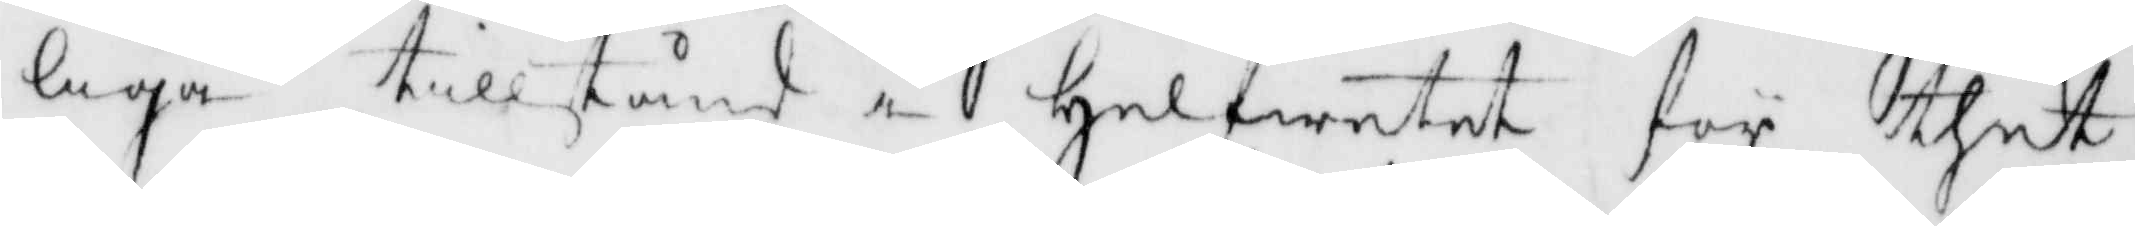liga tillstånd i helfwetet för thet
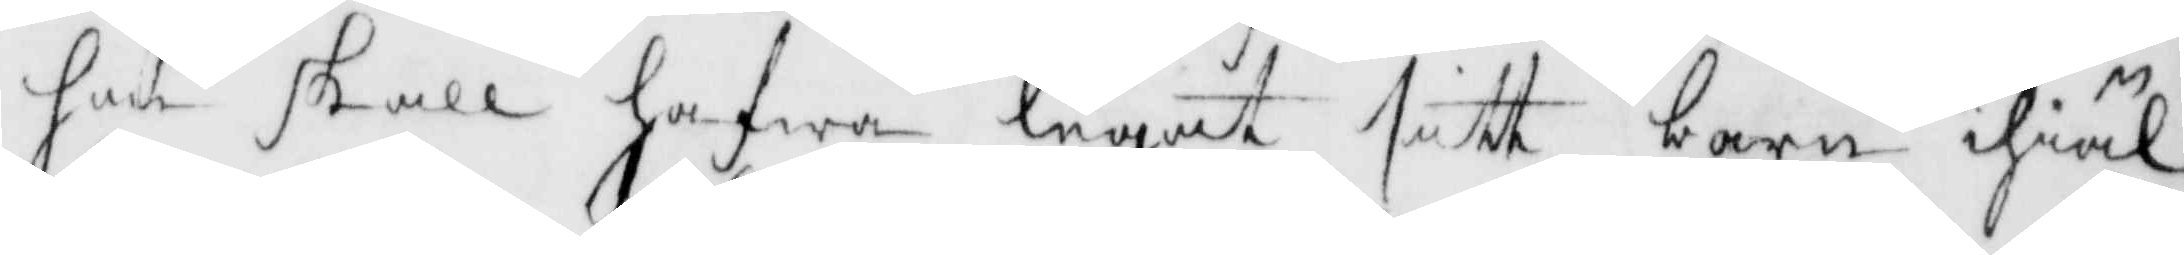hon skall hafwa legat sitt barn ihiäl
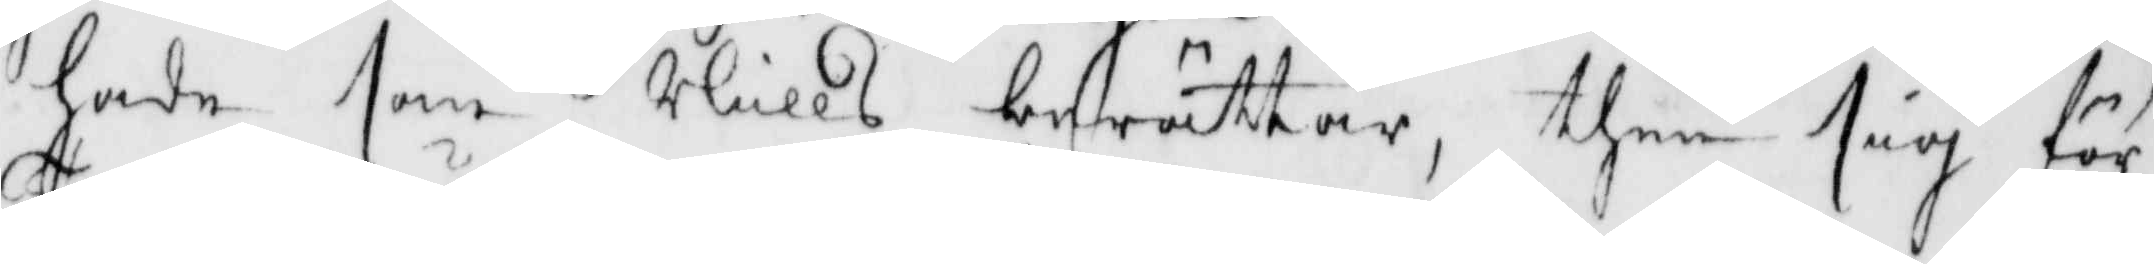hade som Nills berättar, then sig för
